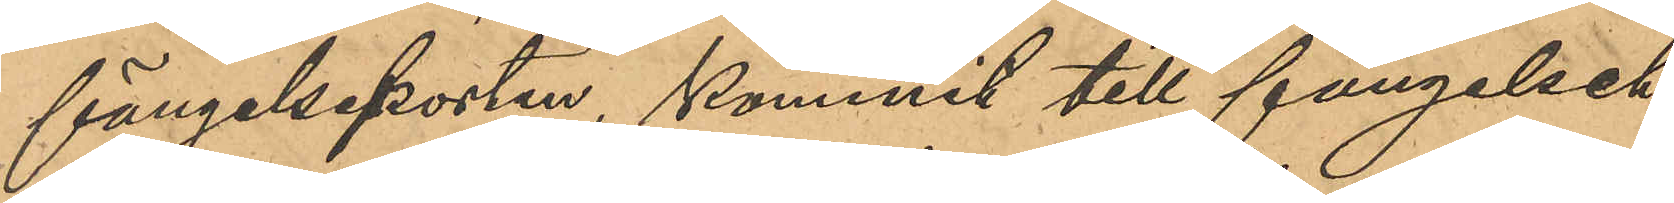fängelseporten, kommit till fängelset
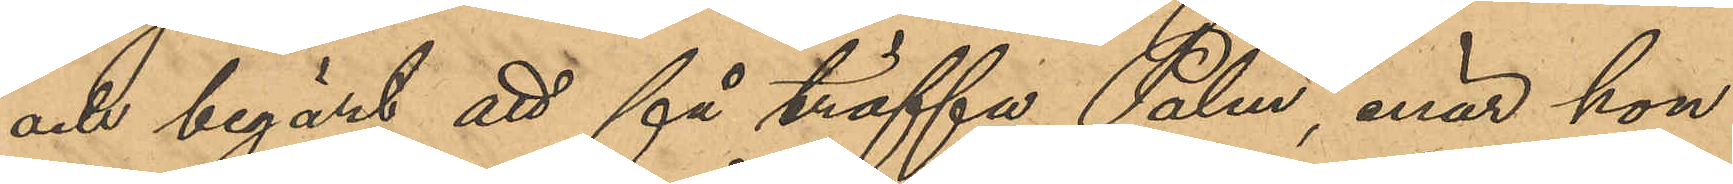och begärt att få träffa Palm, enär hon
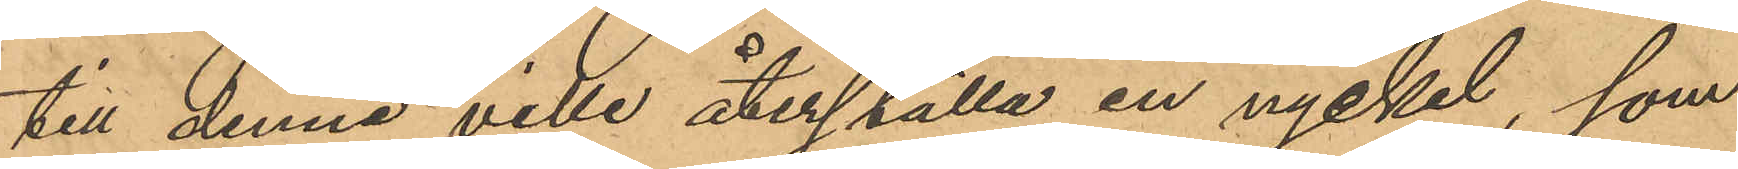till denne ville återställa en nyckel, som
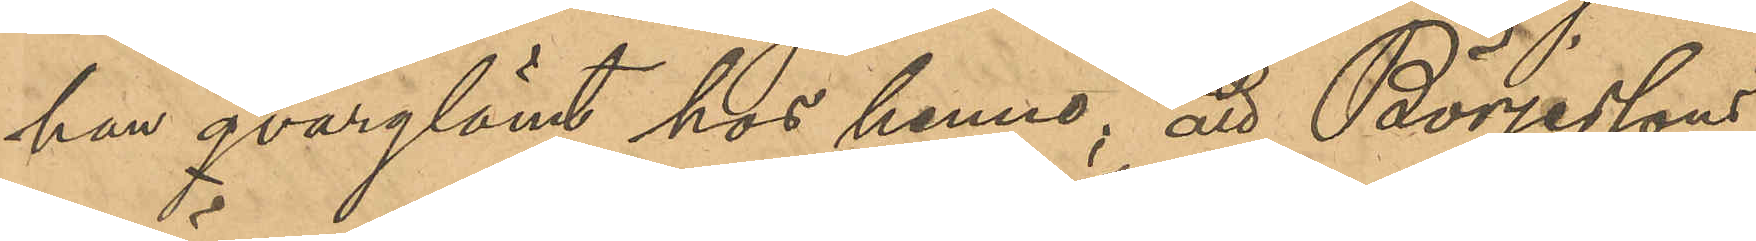han qvarglömt hos henne, att Börjessons
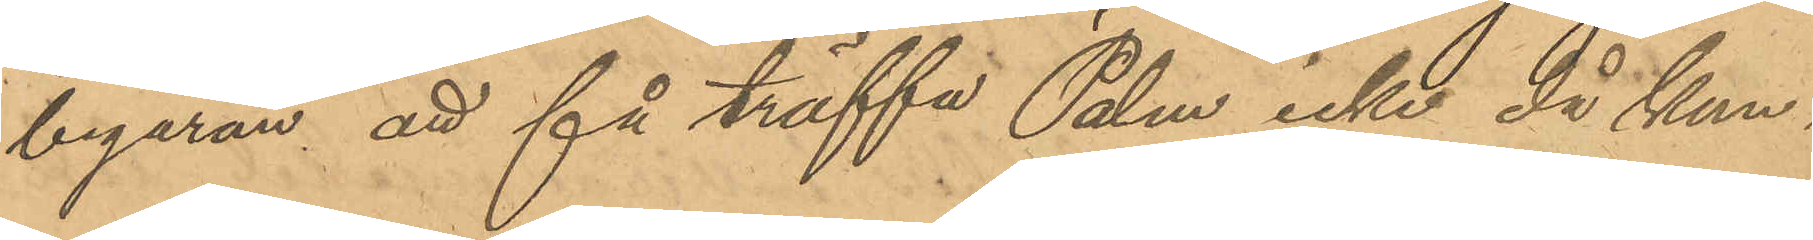begäran att få träffa Palm icke då kun¬
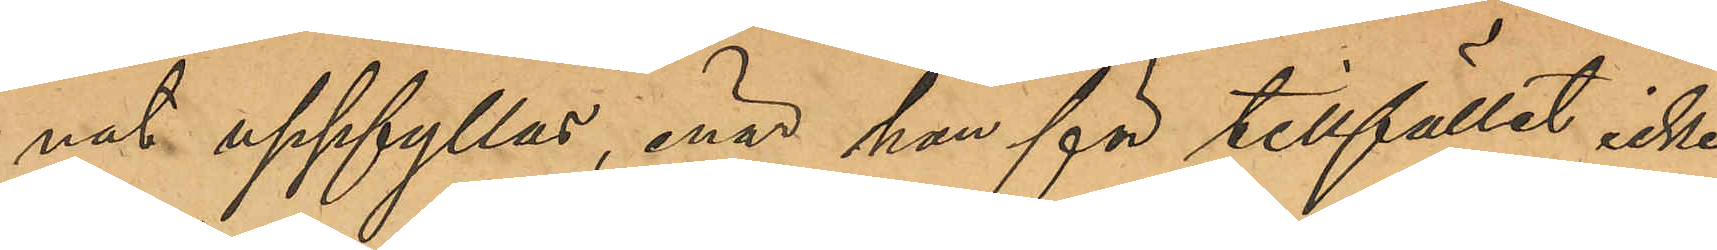nat uppfyllas, enär han för tillfället icke
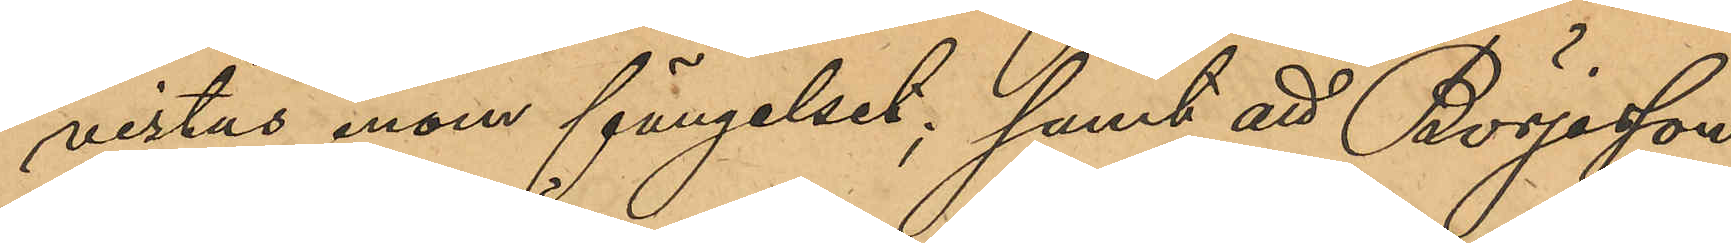vistas inom fängelset; samt att Börjesson
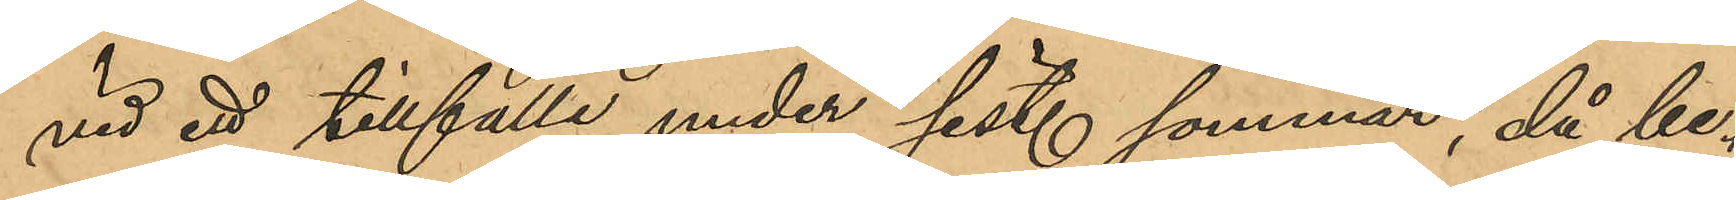vid ett tillfälle under sist. sommar, då be¬
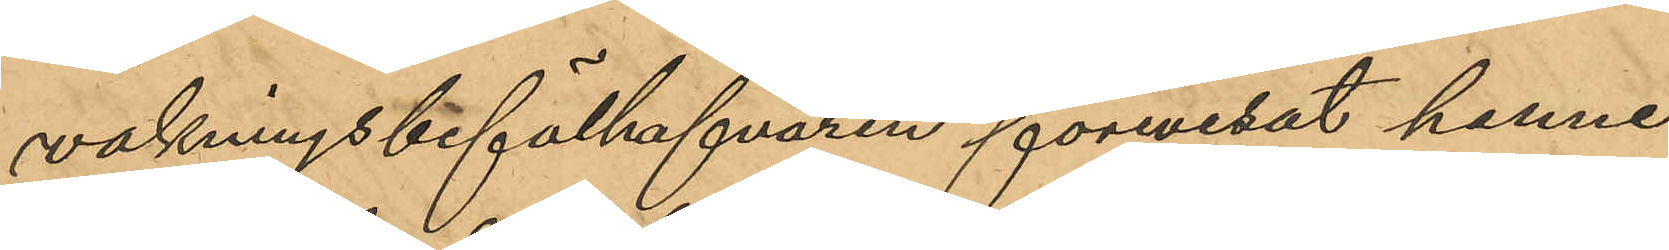vakningsbefälhafvaren förevisat henne
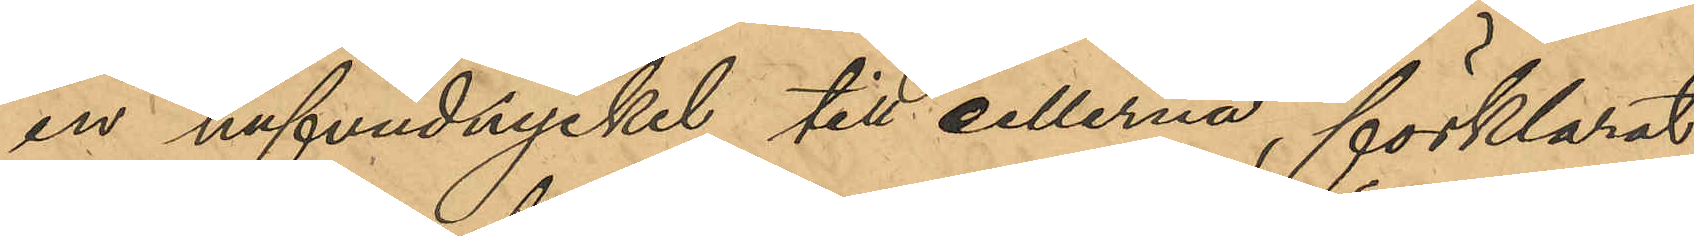en hufvudnyckel till cellerna, förklarat
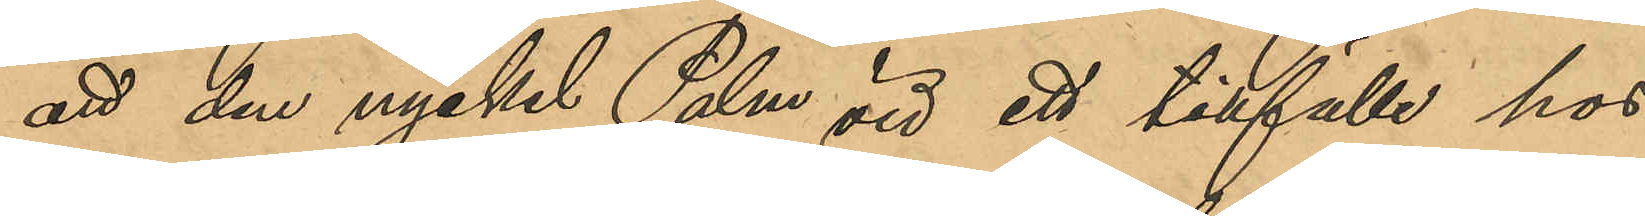att den nyckel Palm vid ett tillfälle hos
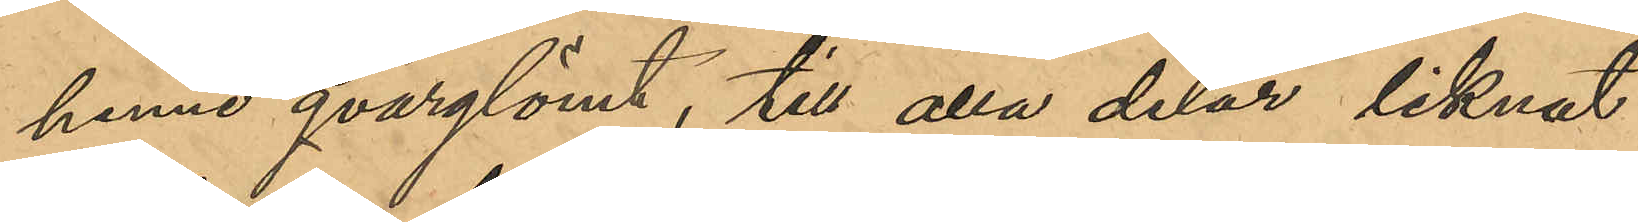henne qvarglömt, till alla delar liknat
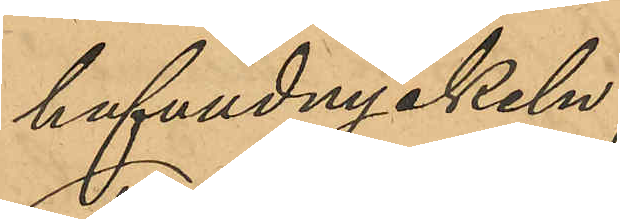hufvudnyckeln;
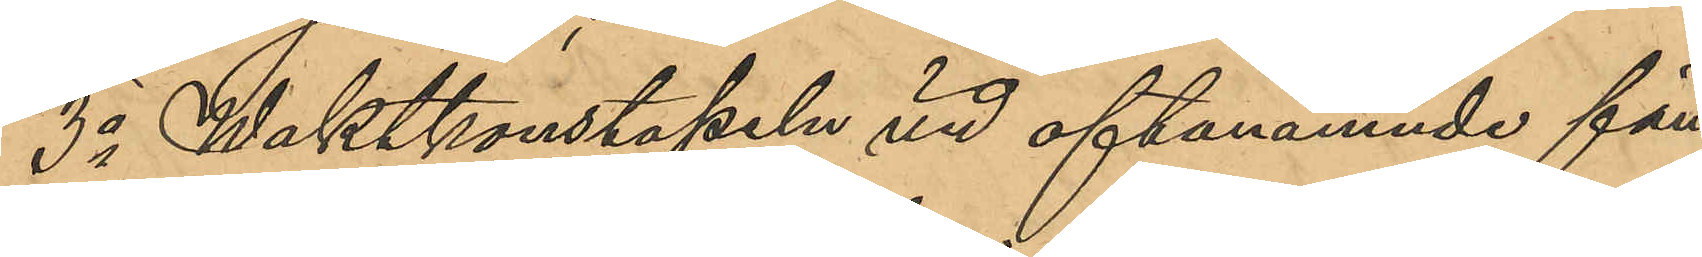3o Waktkonstapeln vid oftanämnde fän¬
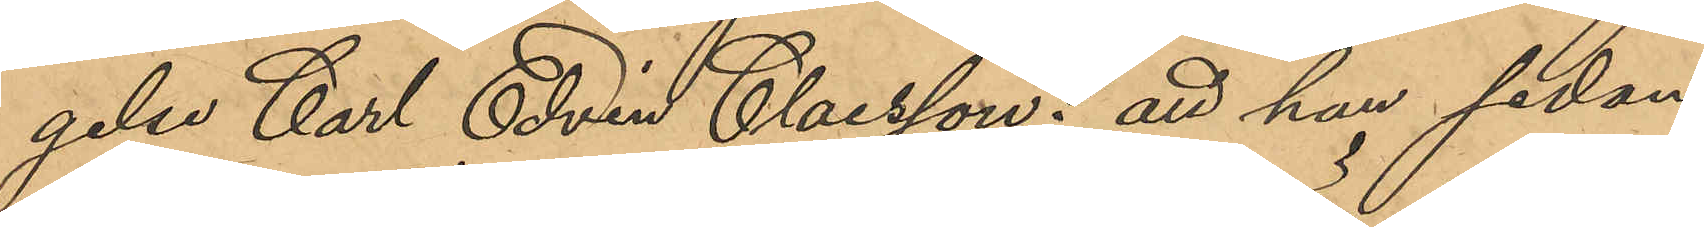gelse Carl Edvin Claesson: att han sedan
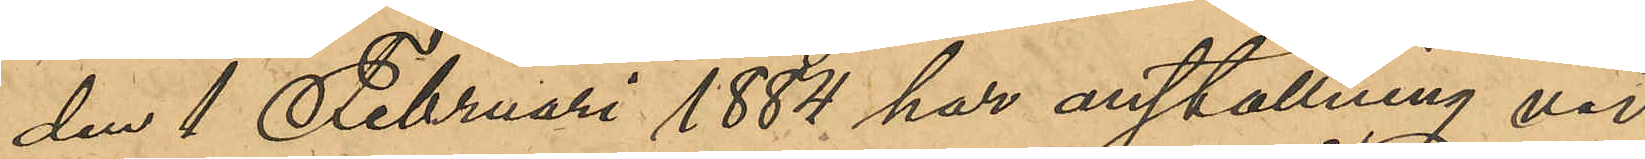den 1 Februari 1884 har anställning vid
